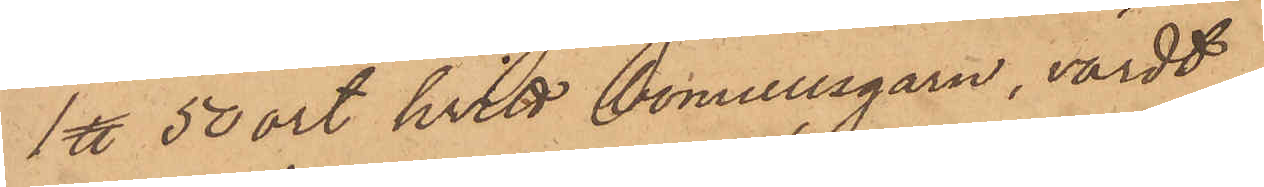1 ℔ 50 ort hvitt bomullsgarn, värdt
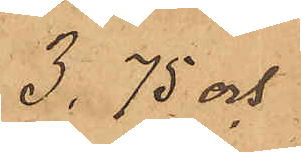3,75 och
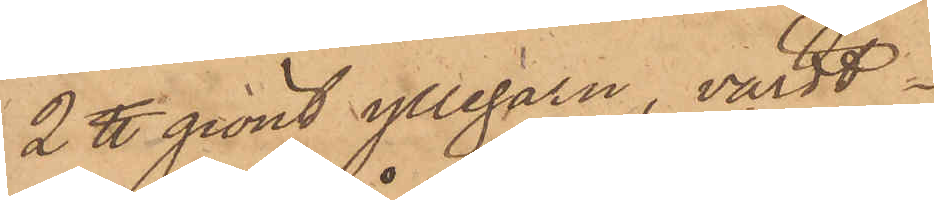2 ℔ grönt yllegarn, värdt
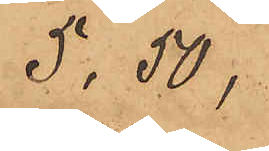5, 50,
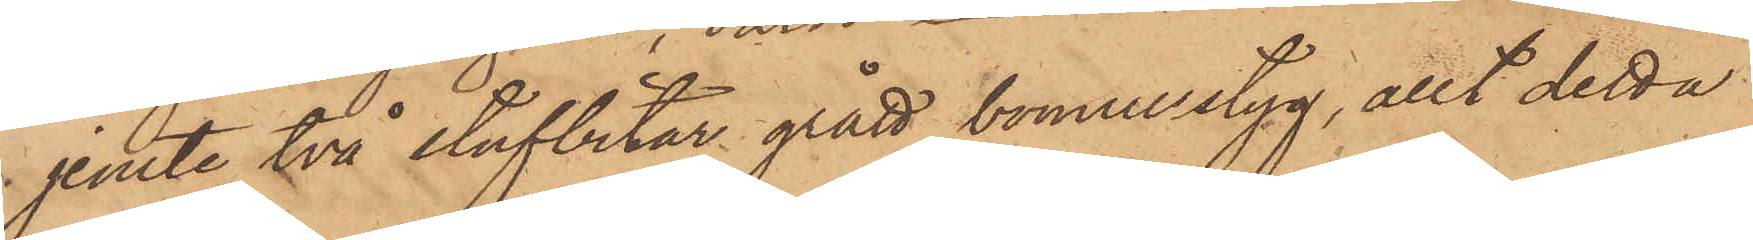jemte två stufbitar grått bomullstyg, allt detta
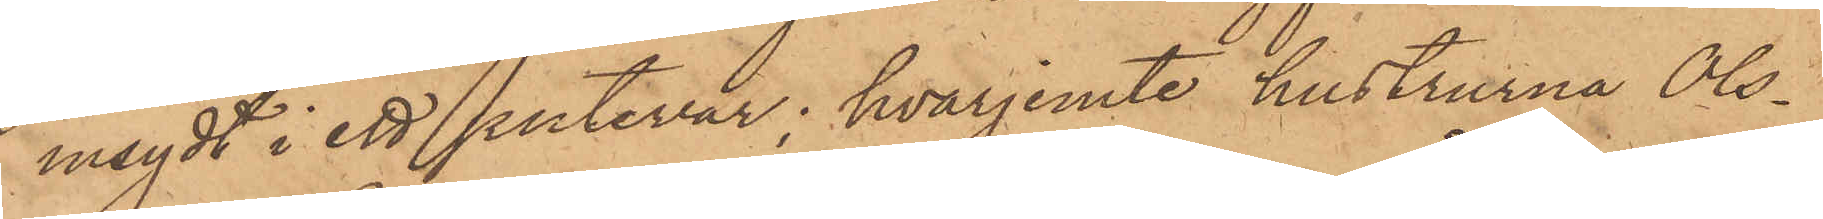insydt i ett putevar; hvarjemte hustrurna Ols¬
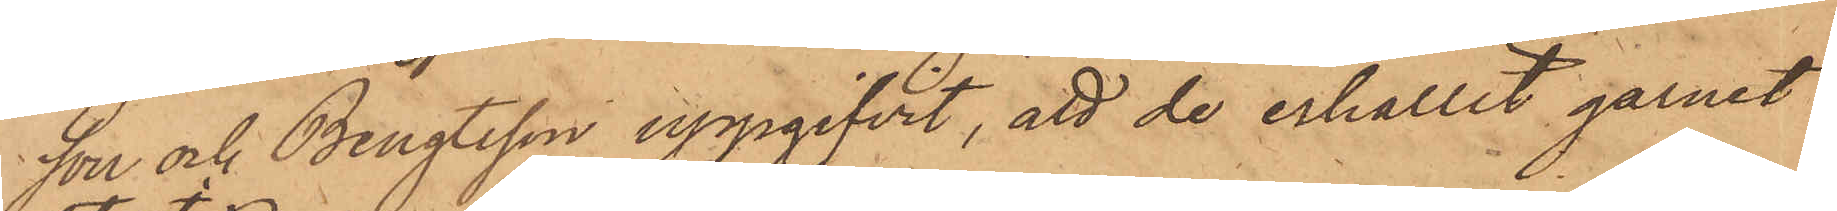son och Bengtsson uppgifvit, att de erhållit garnet
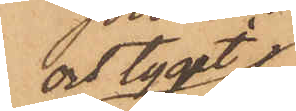och tyget i
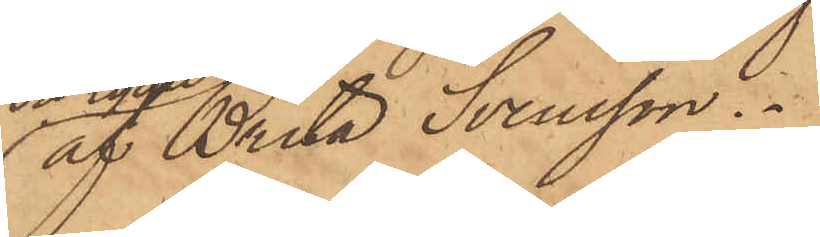af Brita Svensson.
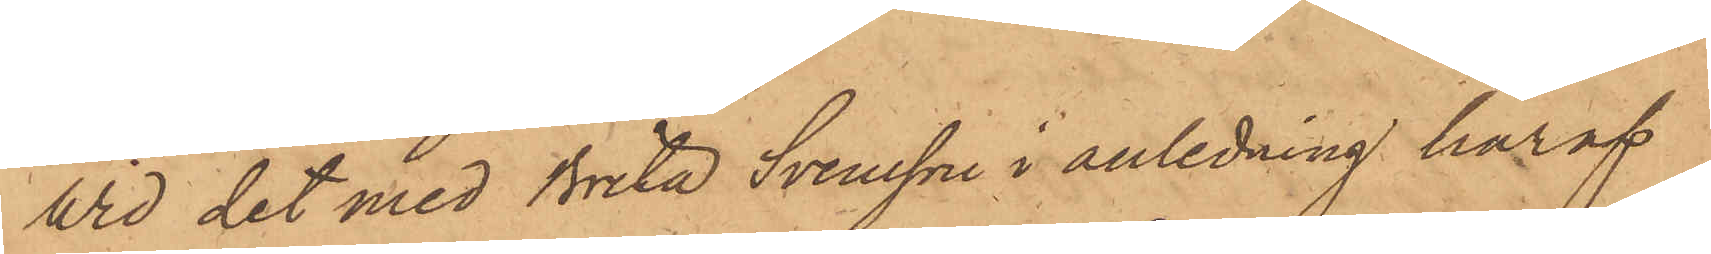Vid det med Brita Svensson i anledning häraf
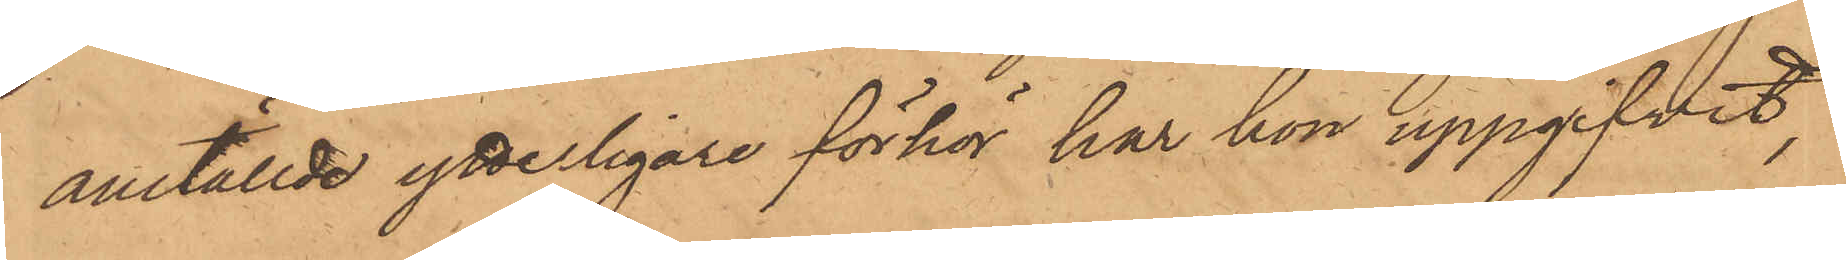anställde ytterligare förhör har hon uppgifvit,
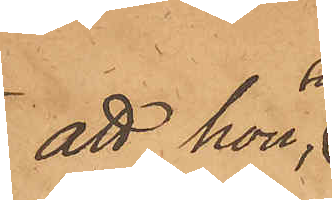att hon,
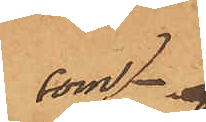som,
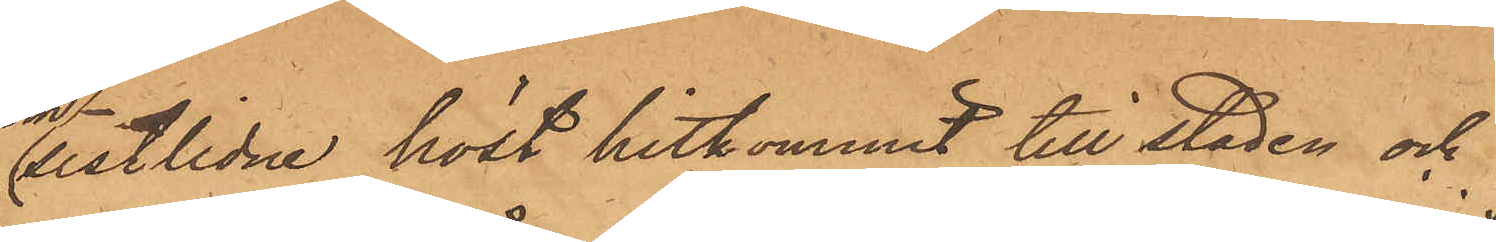sistlidne höst hitkommit till staden och
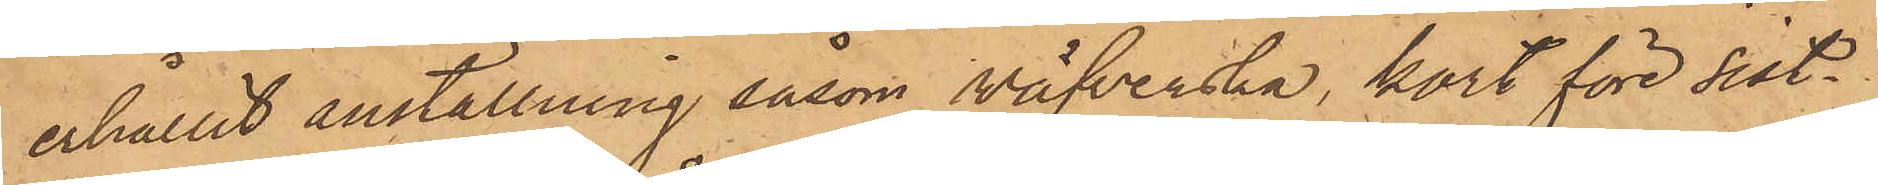erhållit anställning såsom väfverska, kort före sist¬
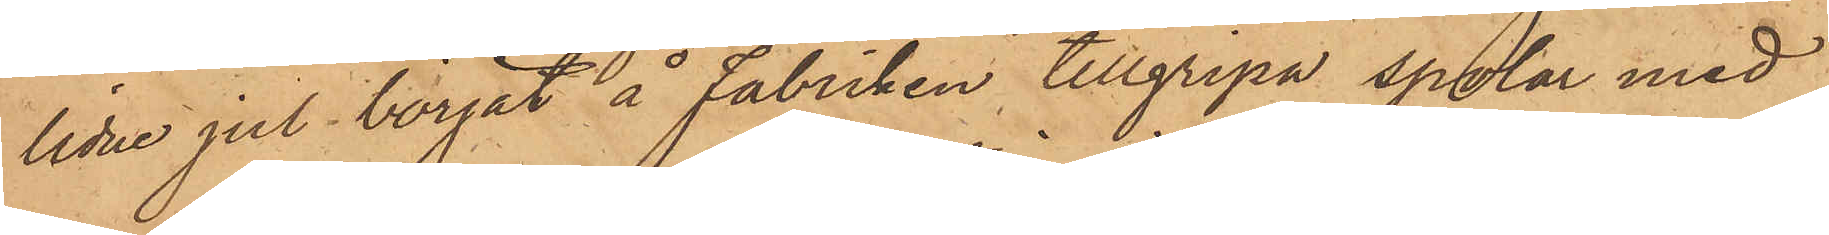lidne jul börjat å Fabriken tillgripa spolar med
